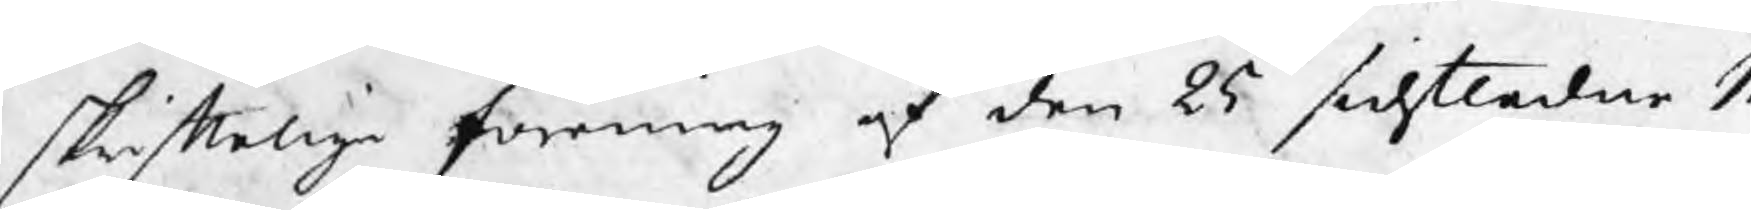skriftelige förening af den 25 sidstledne M
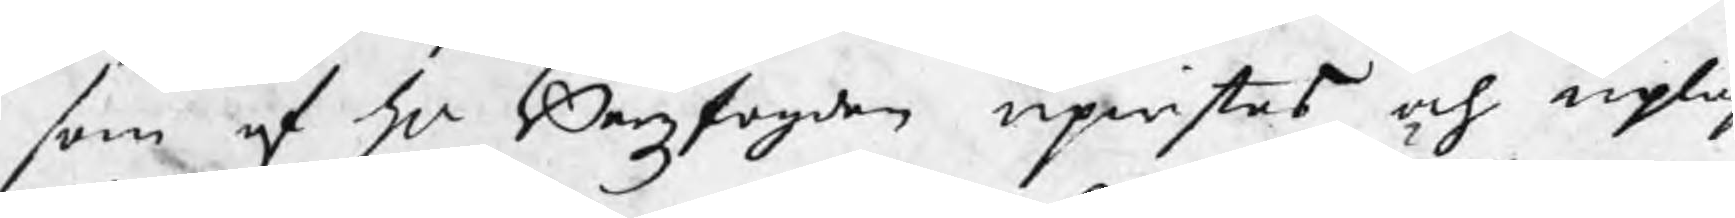som af hr Bergzfogden upwistes och upläs
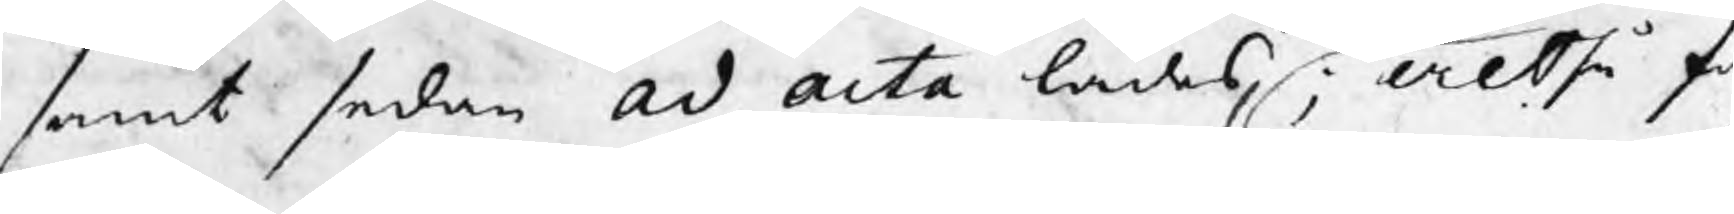samt sedan ad acta lades; Altså fa
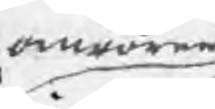omrören
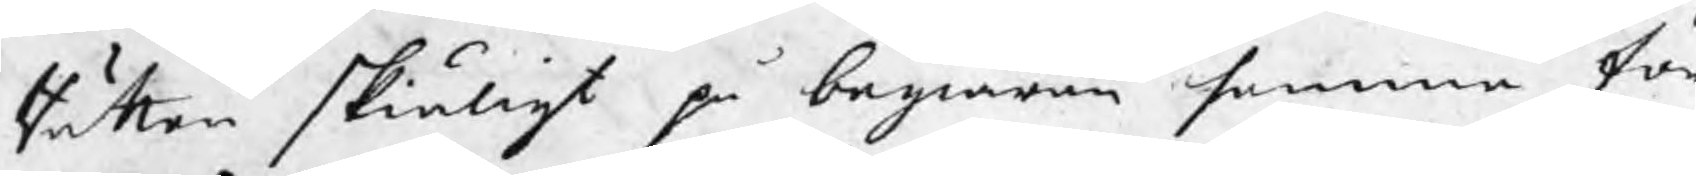Rätten skiäligt på begiäran samma för
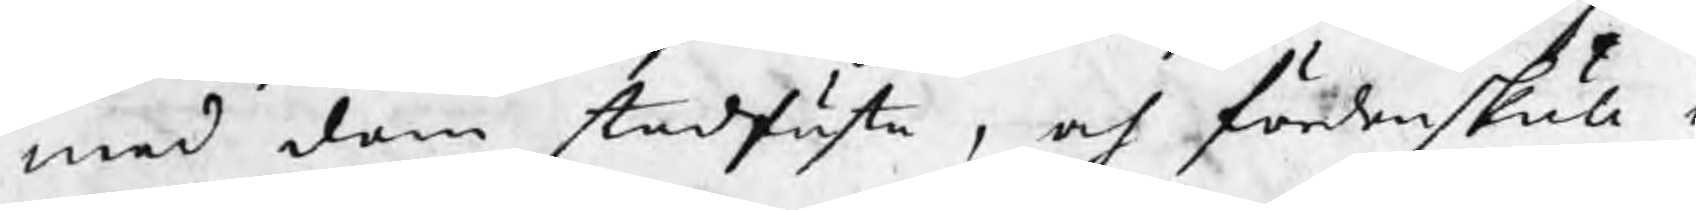med dem stadfästa , och fördenskull d
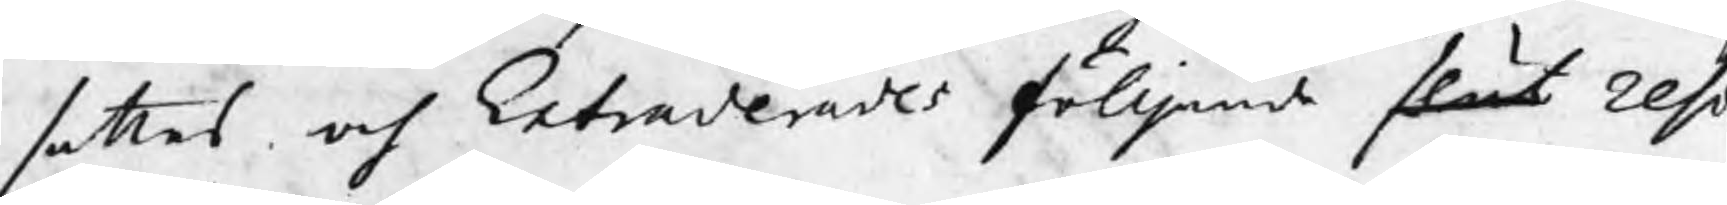sattes och Extraderades fölljande slut reso
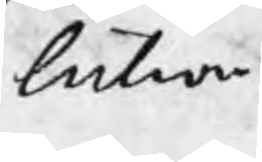lution
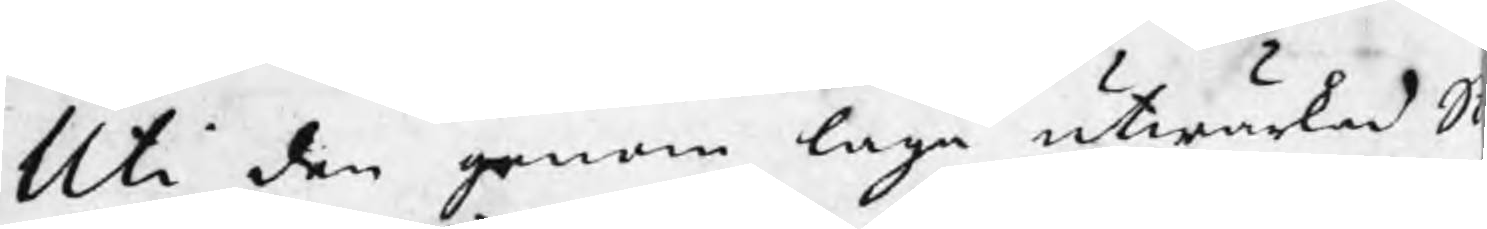Uti den genom laga utwärkad St
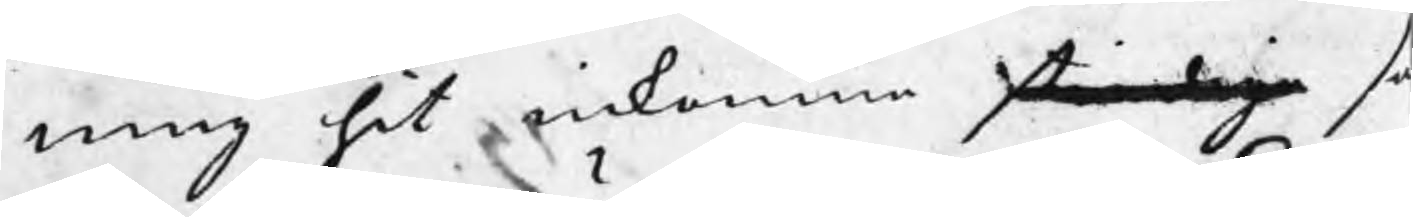ning hit inkomne st..daga so
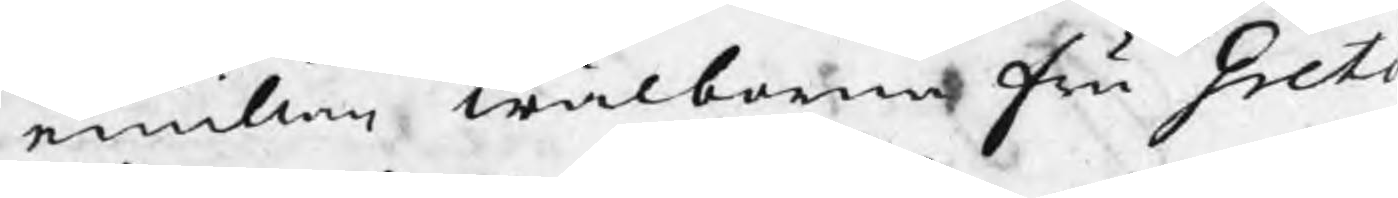emillan wälborna Fru Greta
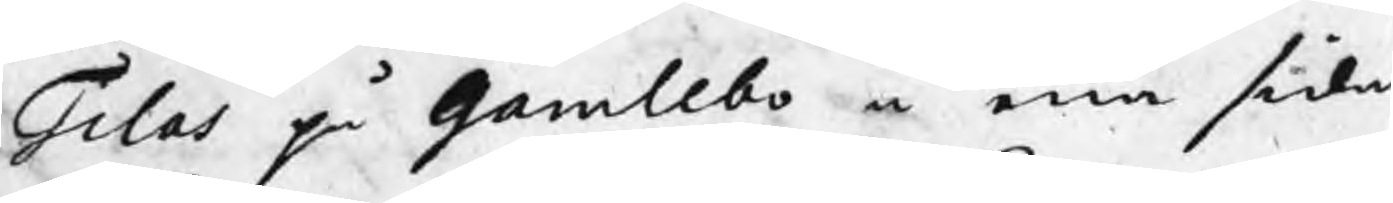Tilas på Gamlebo å ena sida
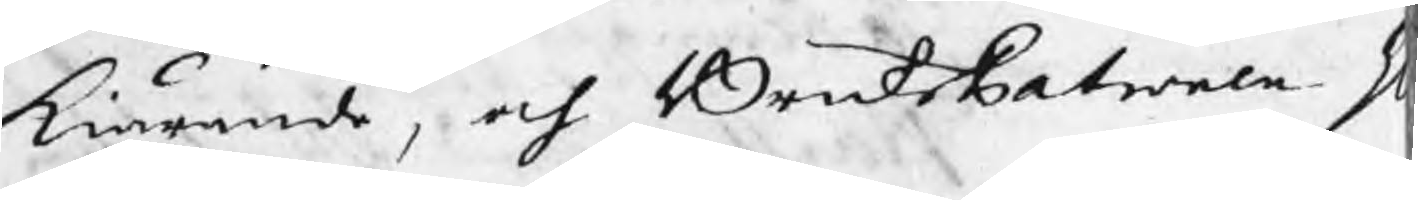kiärande, och BruksPatronen H
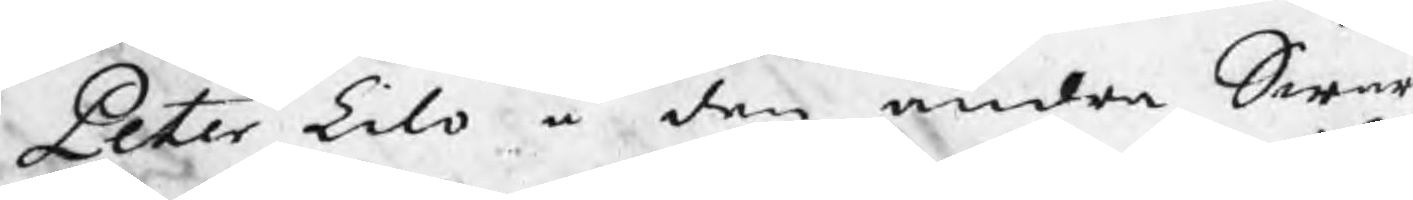Peter Lilo å den andra Swar
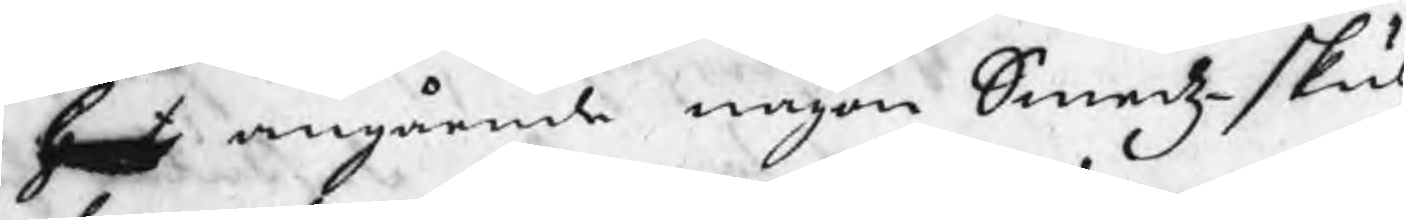h..t angående någon Smedzskul
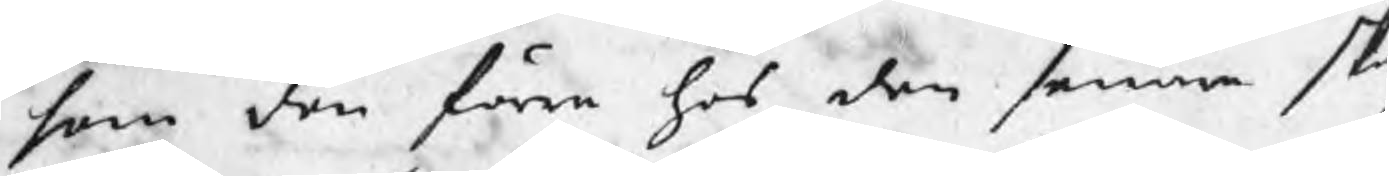som den förra hos den senare sk
